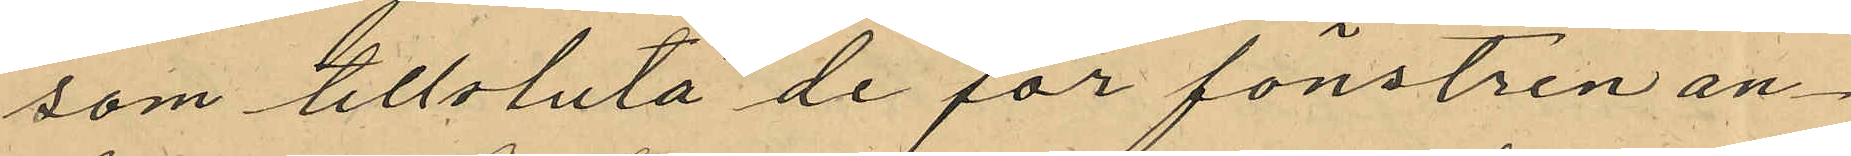som tillsluta de för fönstren an¬
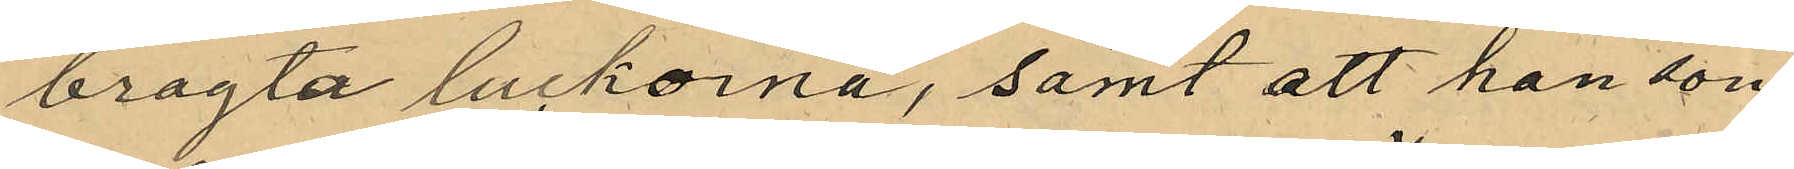bragta luckorna, samt att han som
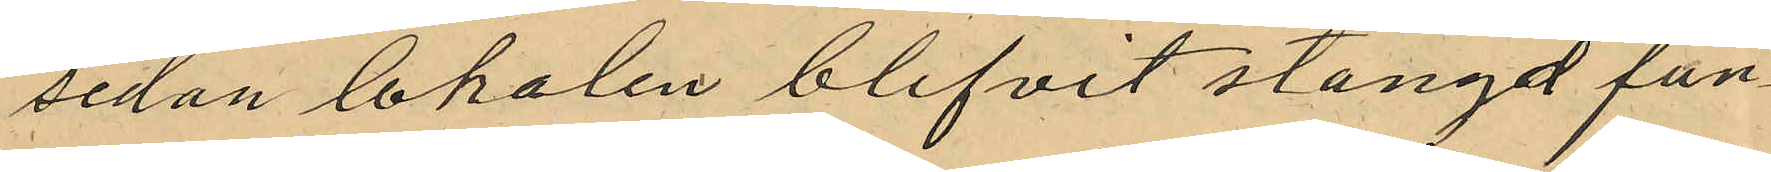sedan lokalen blifvit stängd fun¬
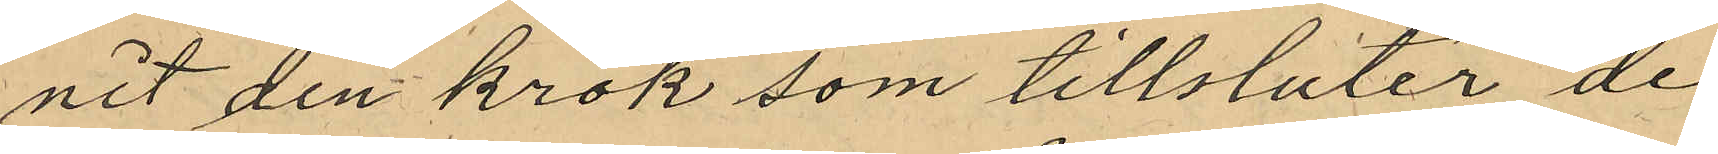nit den krok som tillsluter de
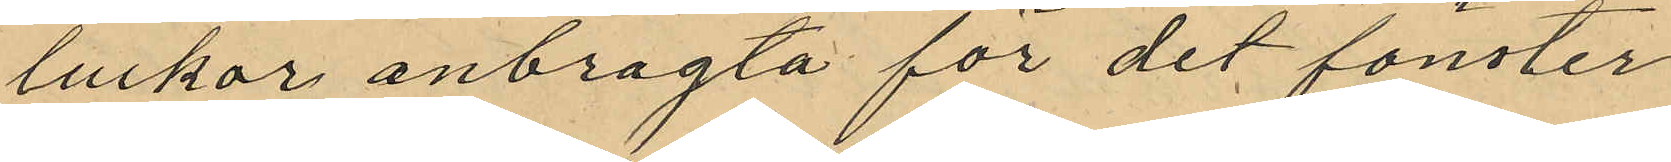luckor anbragta för det fönster
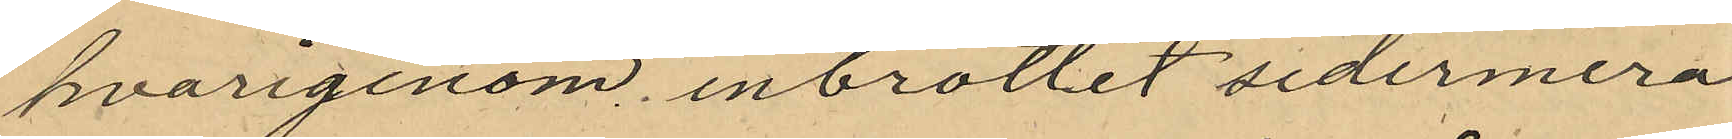hvarigenom inbrottet sedermera
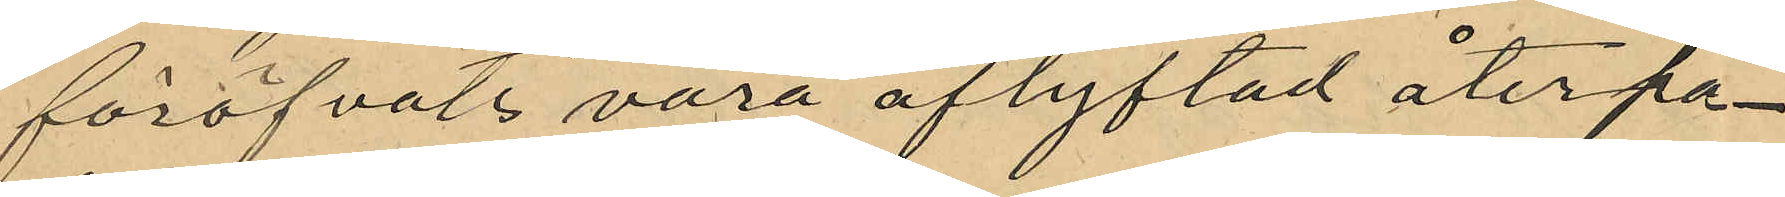föröfvats vara aflyftad återpå¬
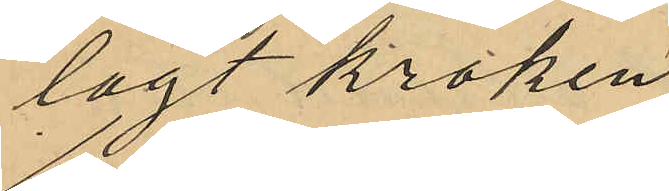lagt kroken
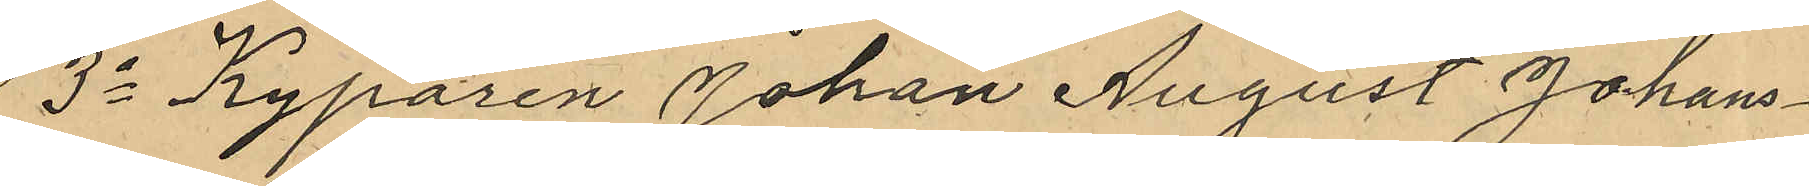3o Kyparen Johan August Johans¬
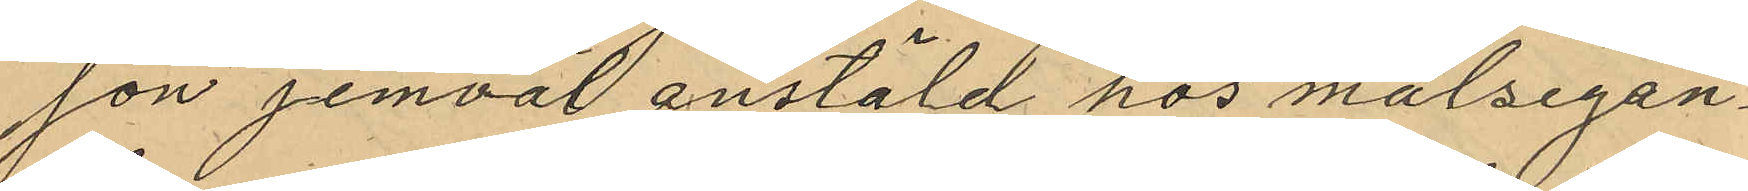son jemväl anstäld hos målsegan¬
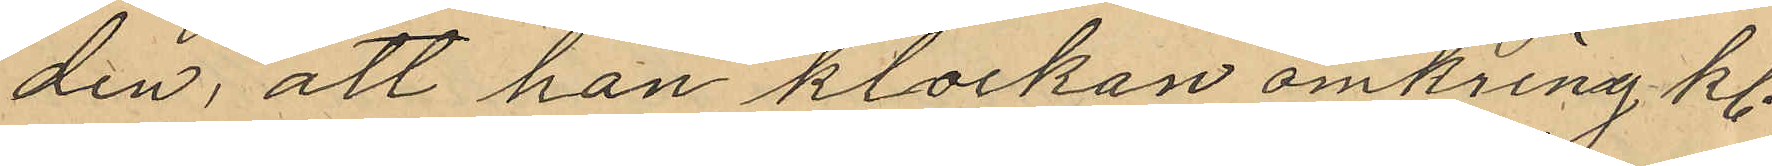den, att han klockan omkring kl.
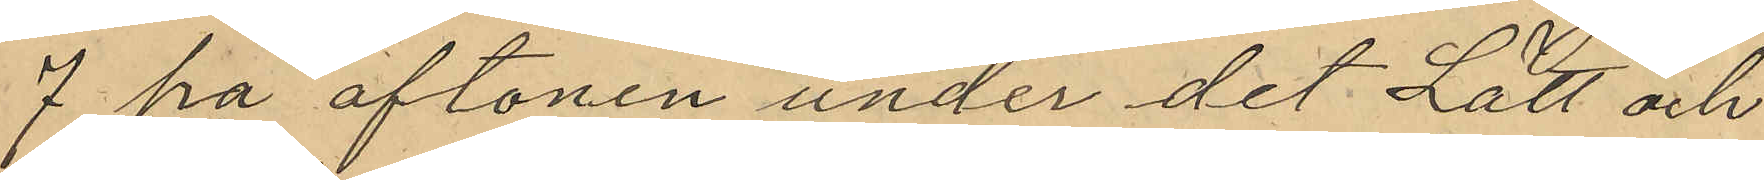7 på aftonen under det Lätt och
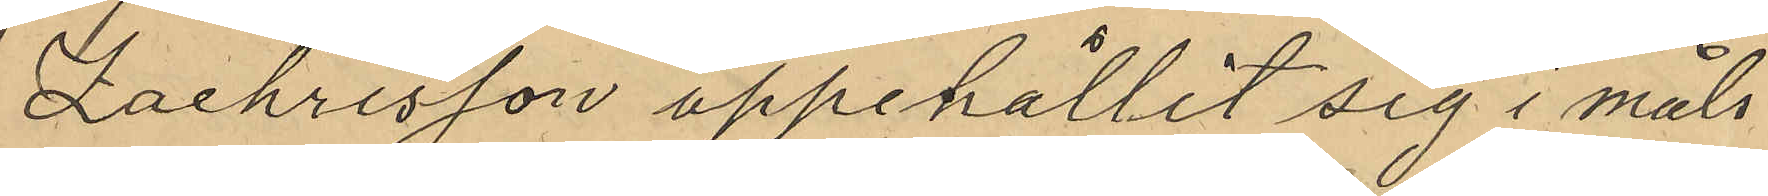Zachrisson uppehållit sig i måls¬
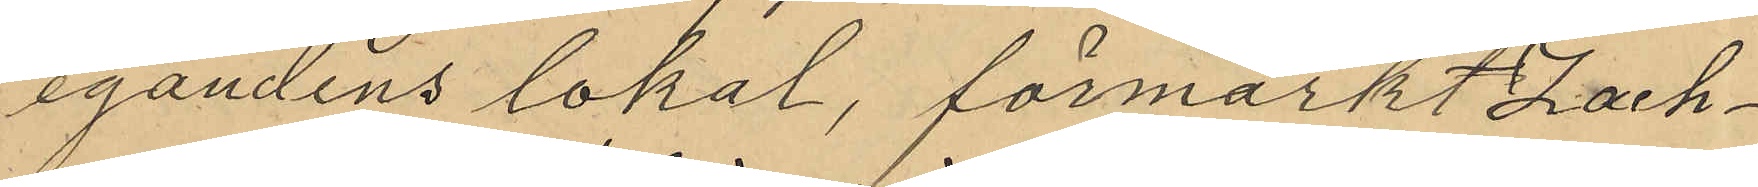egandens lokal, förmärkt Zach¬
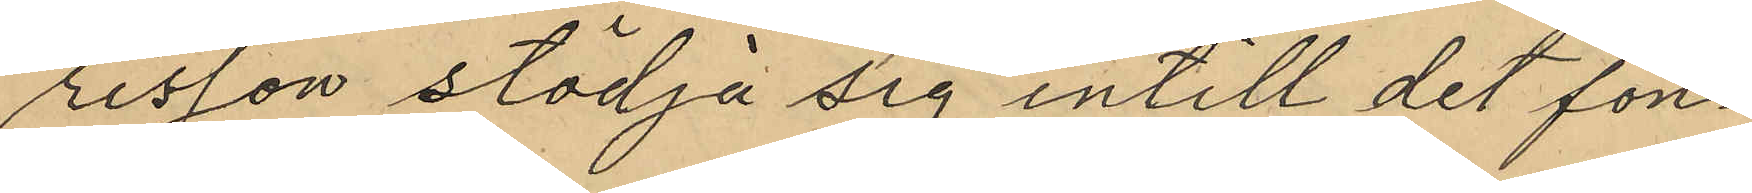risson stödja sig intill det fön¬
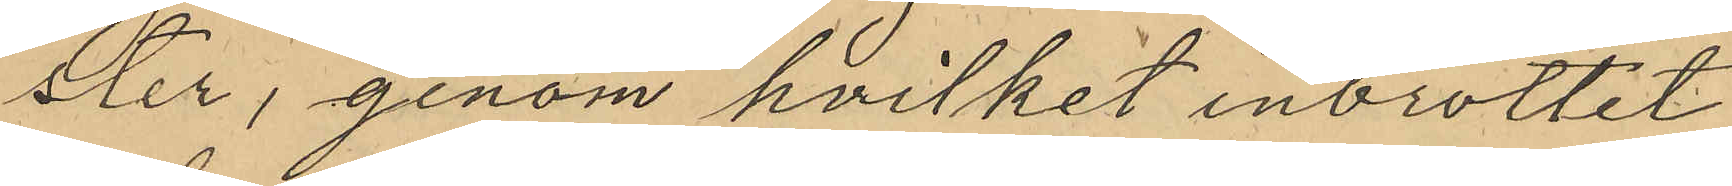ster, genom hvilket inbrottet
